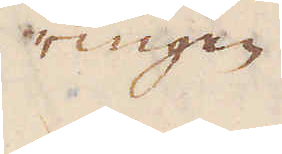ringen
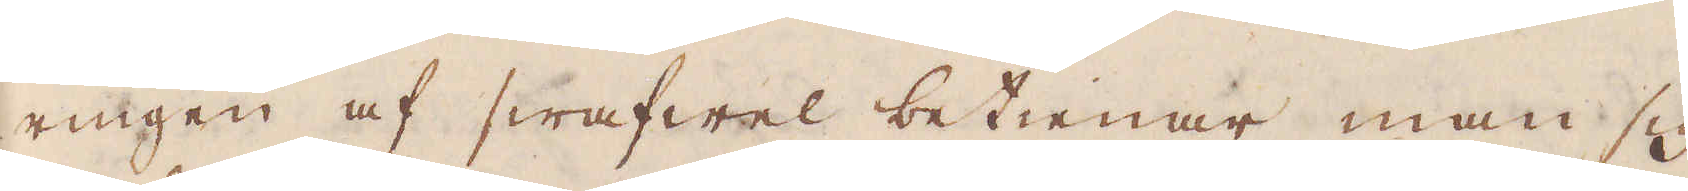ringen af swafwel betienar man sig
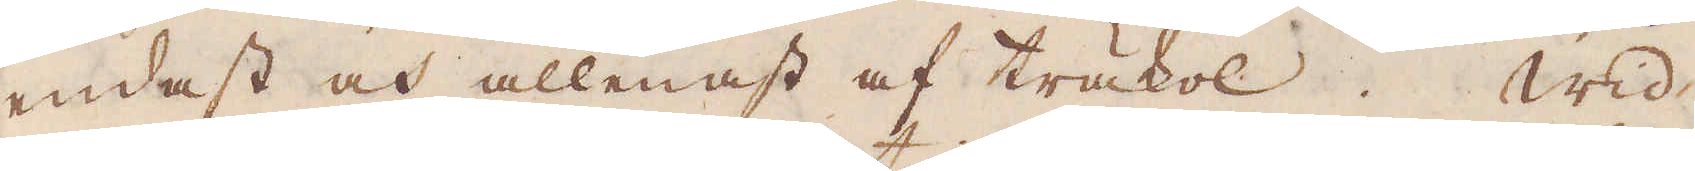endast och allenast af träkol. Wid
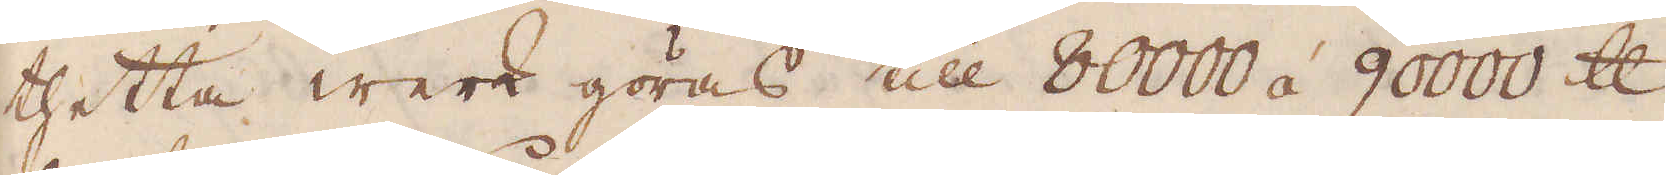thetta werk göras till 80000 á 90000 skålpund
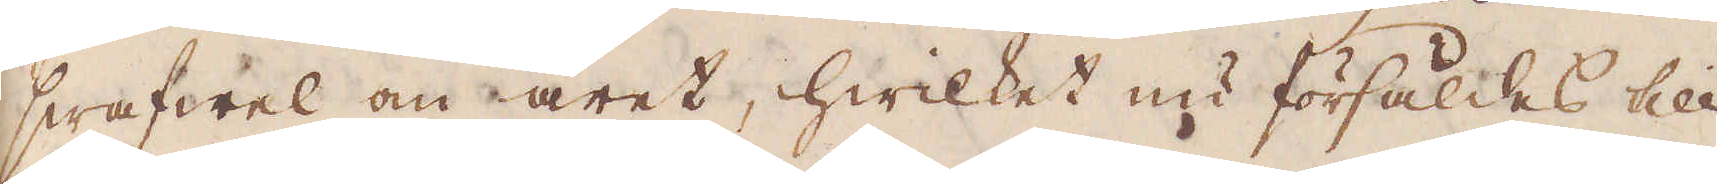swafwel om året, hwilket nu försåldes till
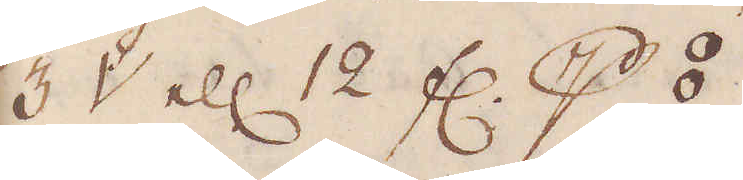3 V ell 12 fl p ⦂.
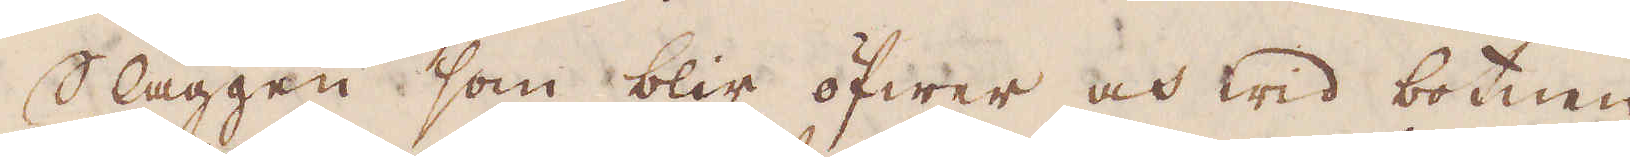Slaggen som blir öfwer och wid botnen
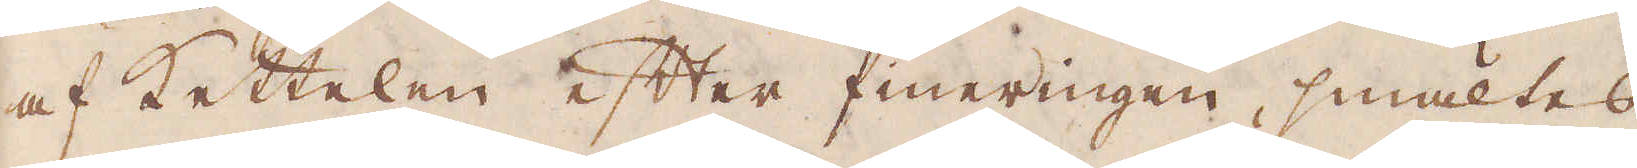af kettelen efter fineringen, smältes
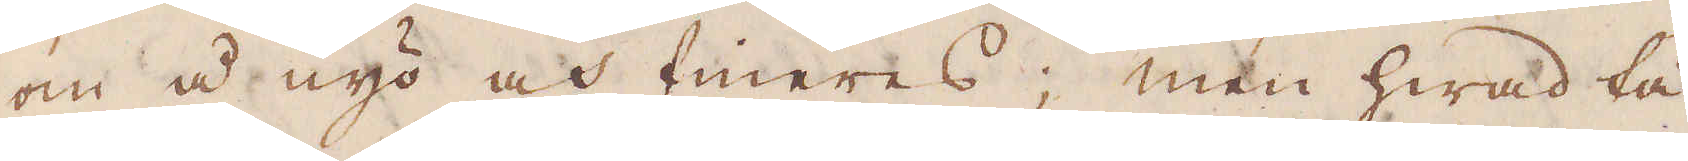om å nyo och fineras; men hwad tå
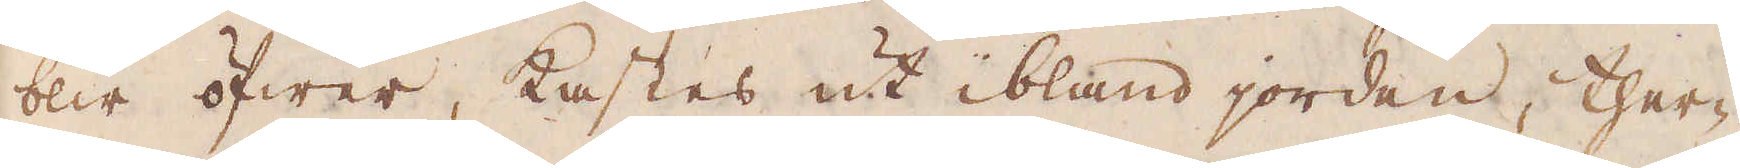blir öfwer, kastes ut ibland jorden, ther-
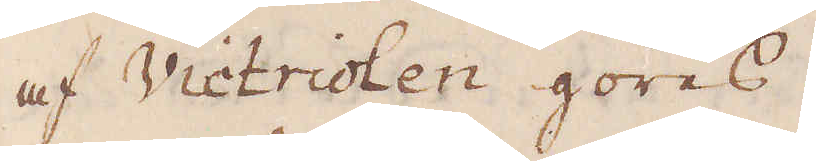af Victriolen göres.
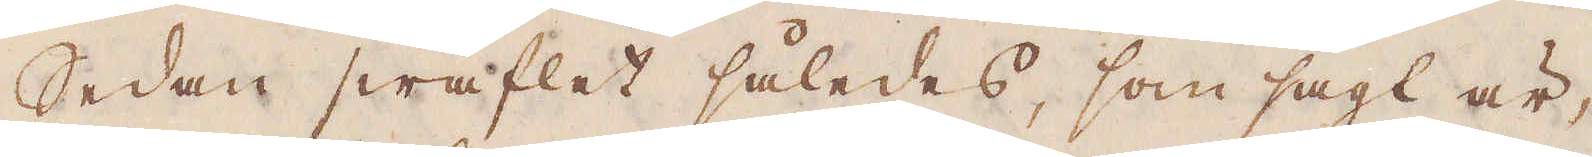Sedan swaflet således, som sagt är,
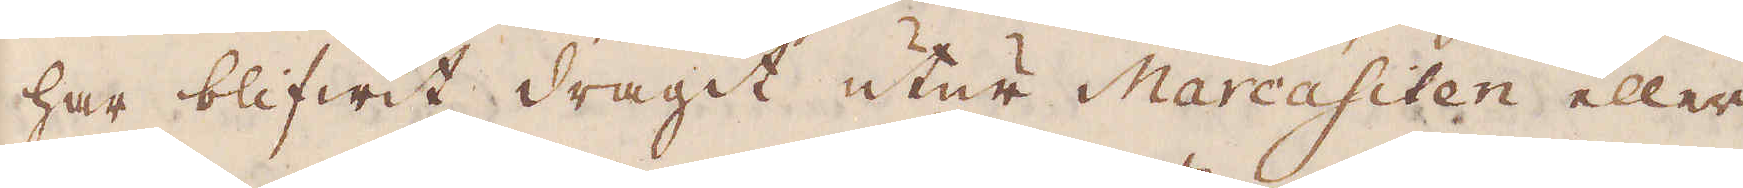har blifwit dragit utur Marcasiten eller
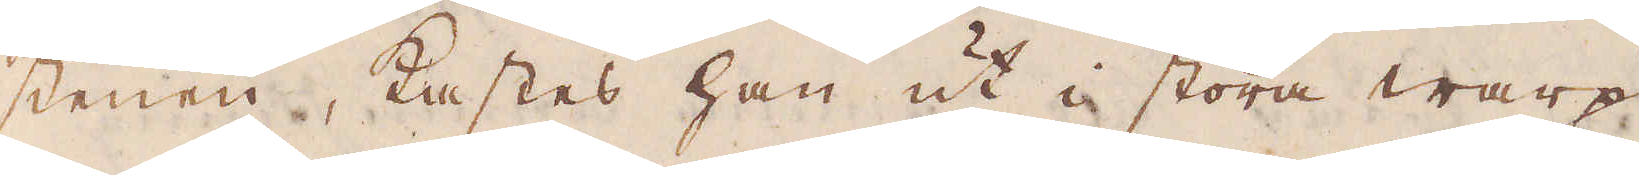stenen, kastes han ut i stora warp
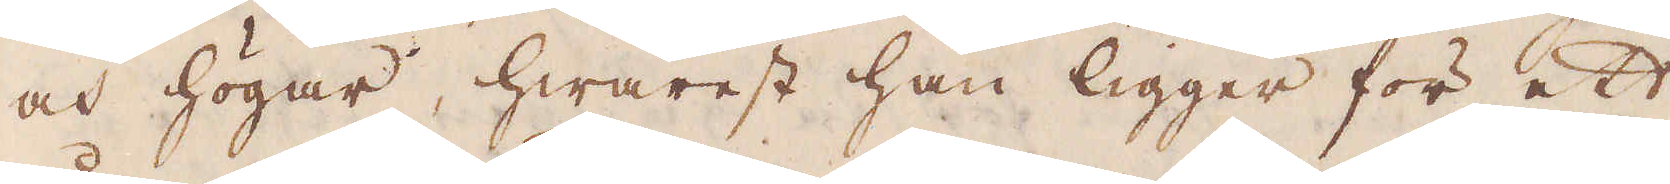och högar, hwarest han ligger för ett
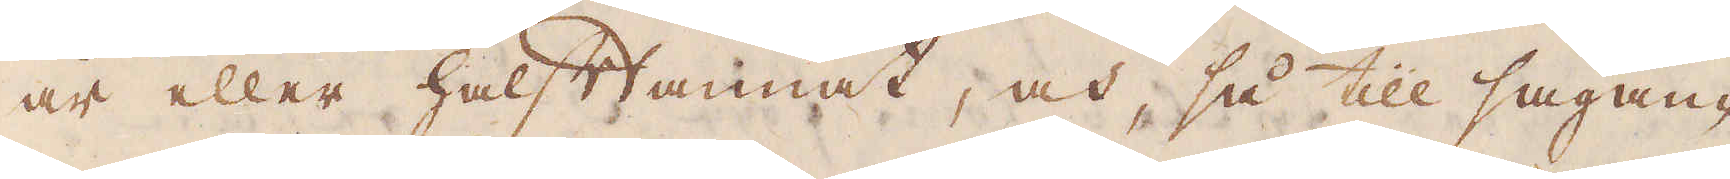år eller halftannat, och, så till sägan-
